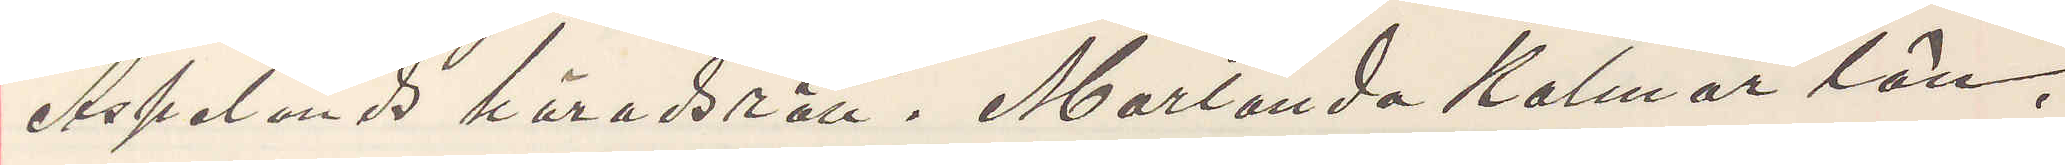Aspelands häradsrätt. Marlanda Kalmar län,
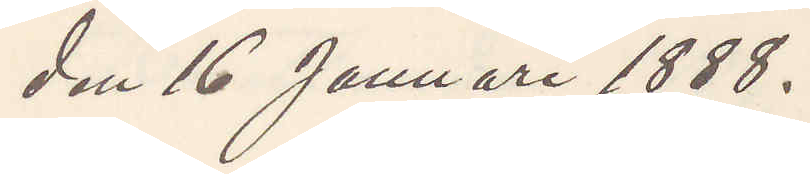den 16 Januari 1888.
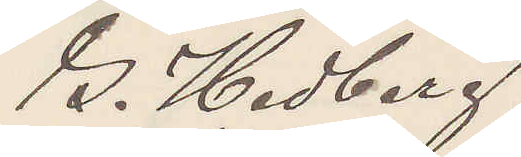G. Hedberg
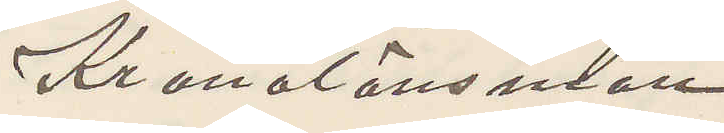Kronolänsman.
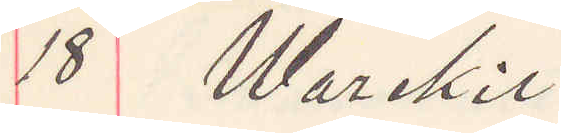18 Warekil.
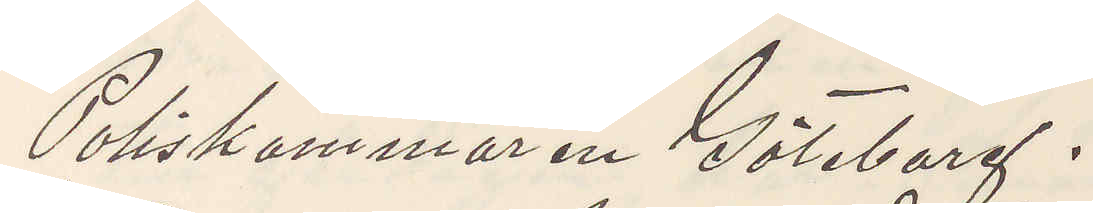Poliskammaren Göteborg.
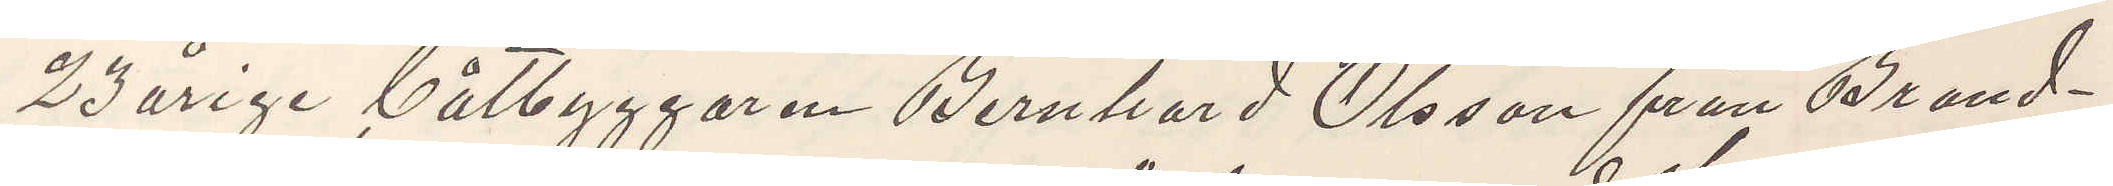23 årige båtbyggaren Bernhard Olsson från Brand¬
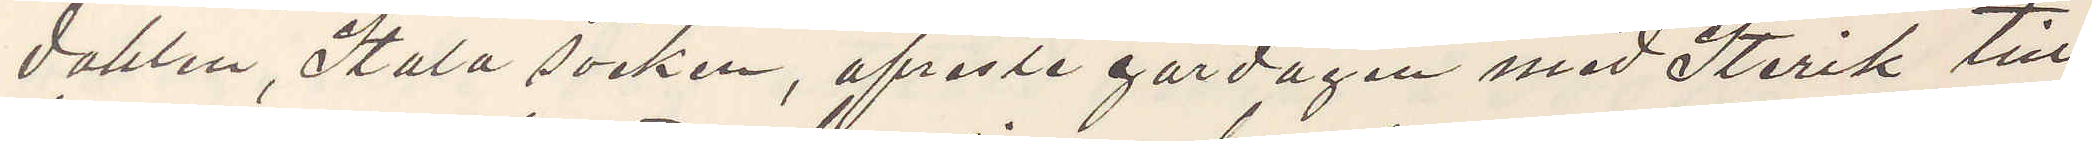dahlen, Stala socken, afresta gördagen med Sterik till
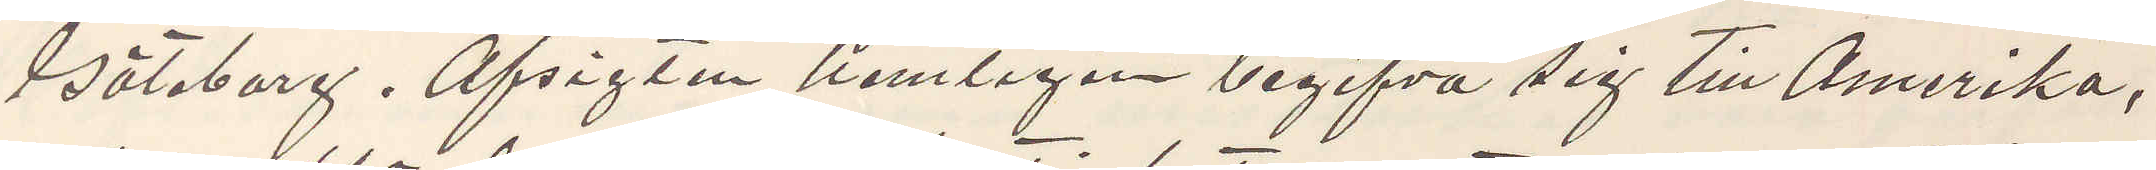Göteborg. Afsigten nemligen begifva sig till Amerika,
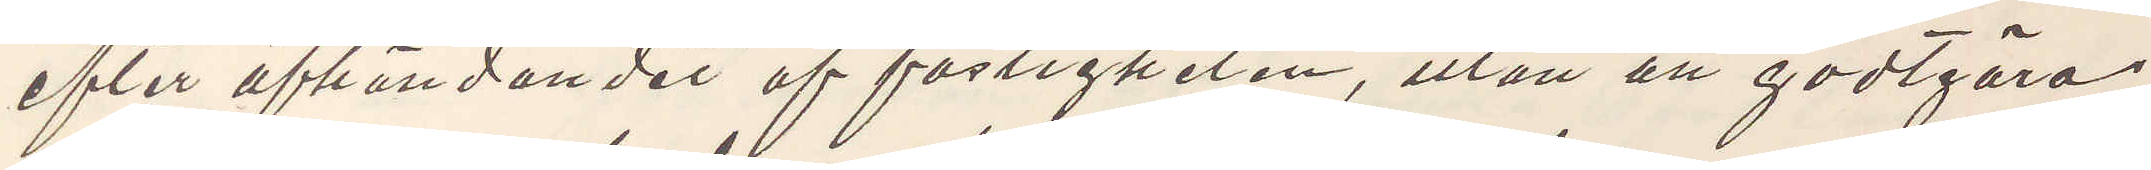efter afhändandet af fastigheten, utan att godtgöra
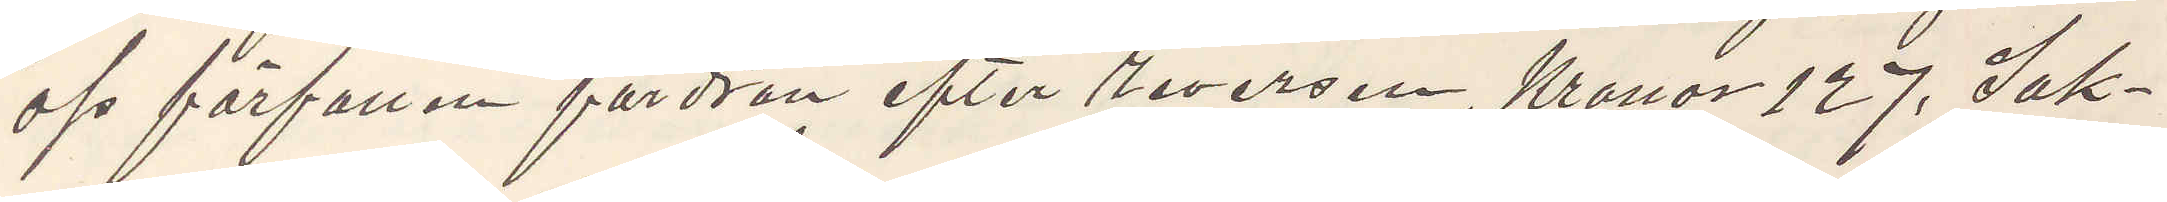oss förfallen fordran efter reversen, Kronor 127. Sak¬
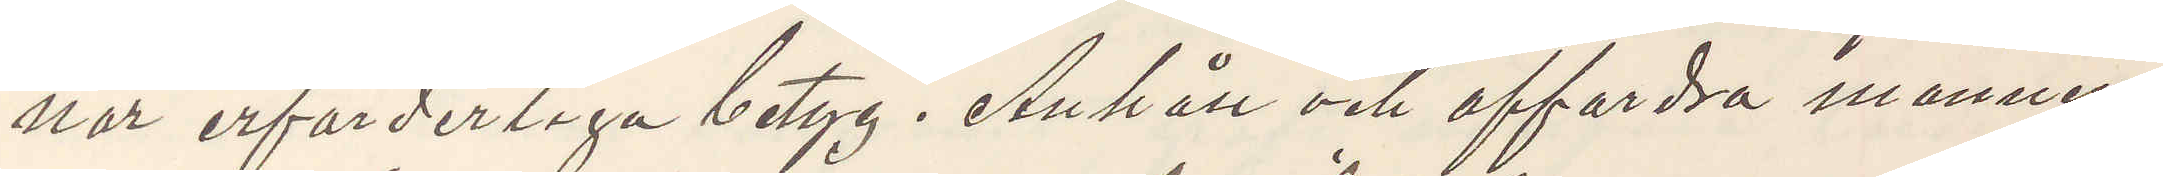nar erforderliga betyg. Anhåll och affordra mannen
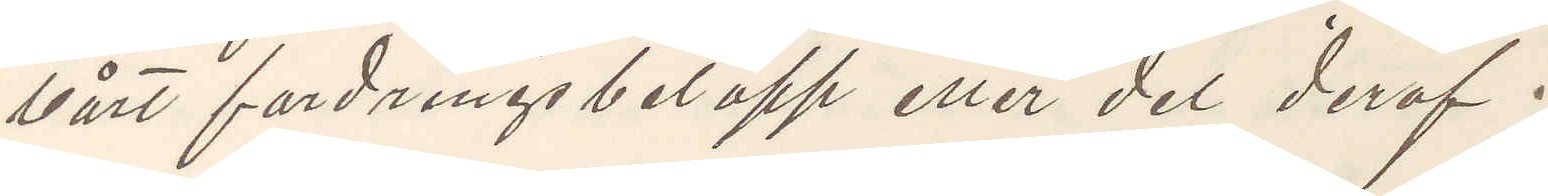vårt fordringsbelopp eller del deraf.
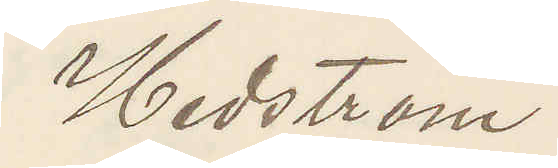Hedström
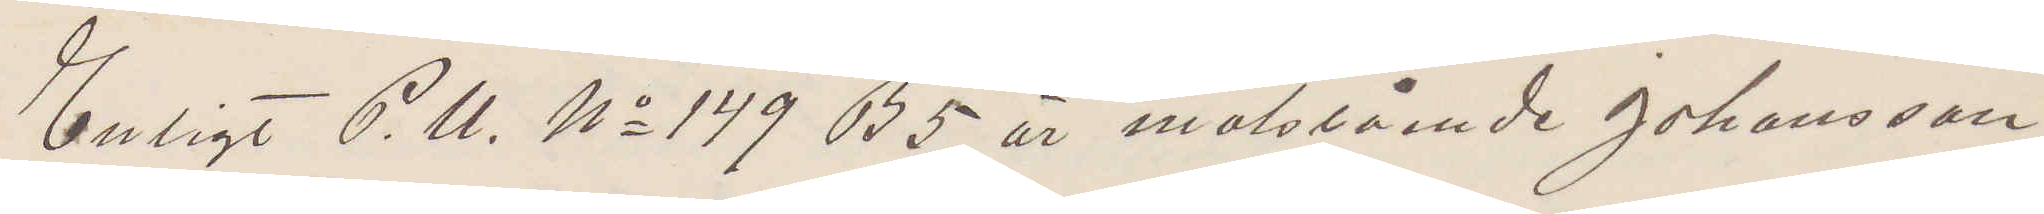Enligt P. U. No 149 B 5 är motstående Johansson
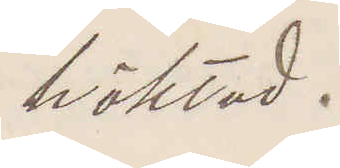häktad.
